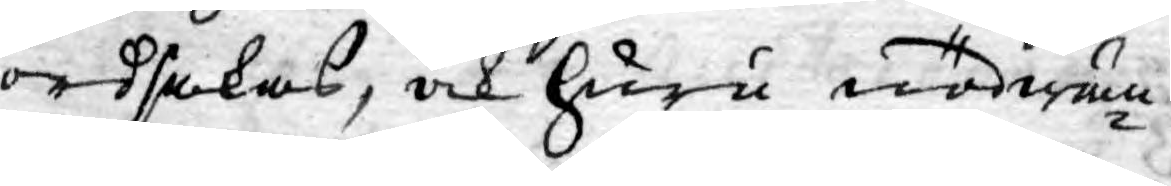ordsakas, och huru nödwän¬
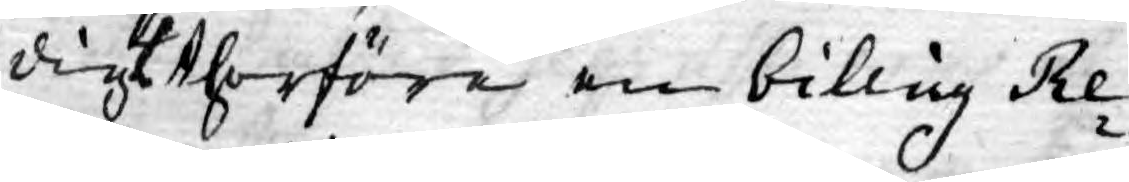digt therföre en billig Re¬
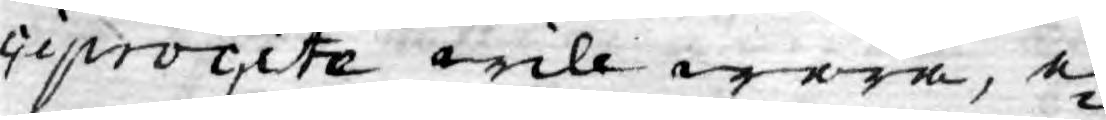ciprocite will wara, e¬
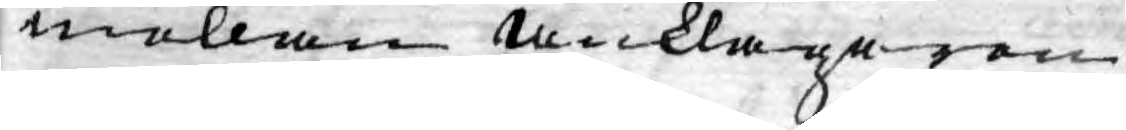mellan anklagaren
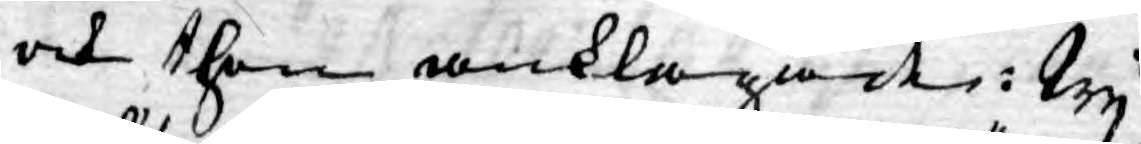och then anklagade: Wy
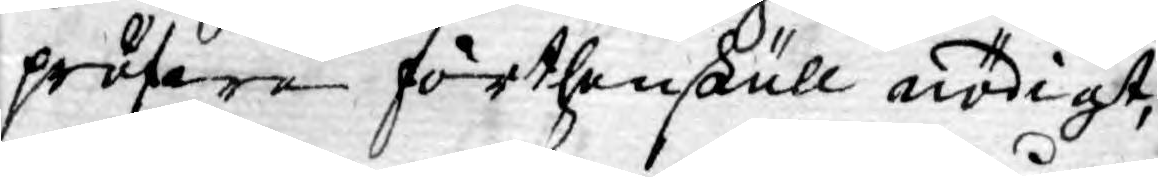pröfwe förthenskull nödigt,
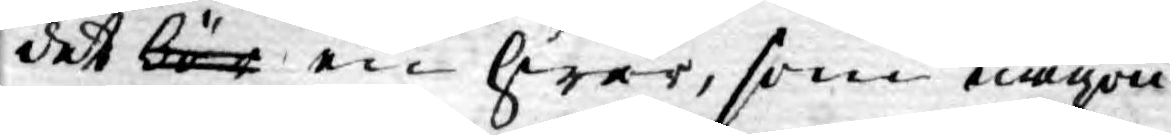det bör en hwar, som någon
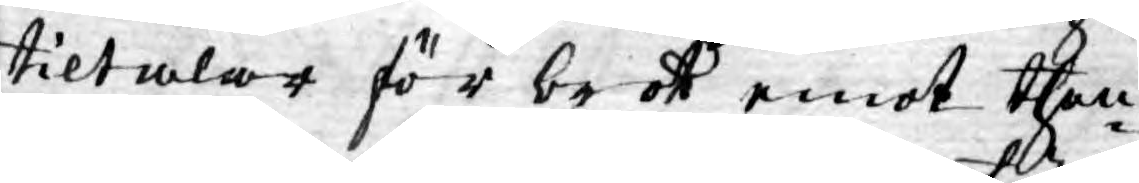tiltalar för brott emot then¬
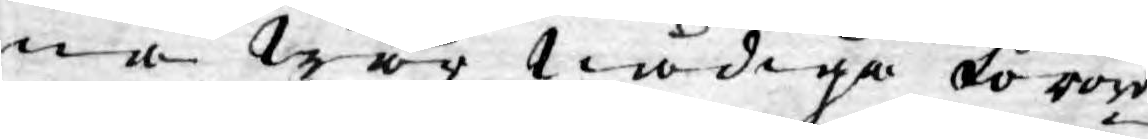na Wår Nådiga förord¬
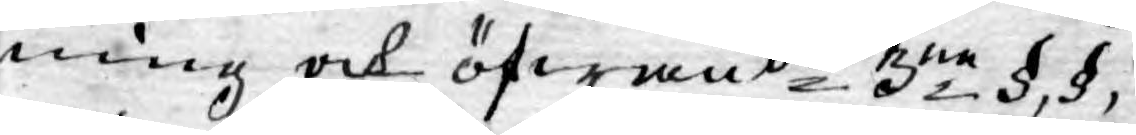ning och öfwande 3ne §, §,
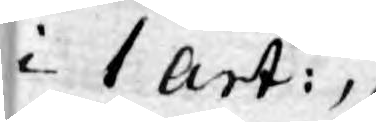i 1 art:
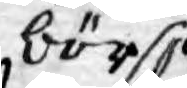bör
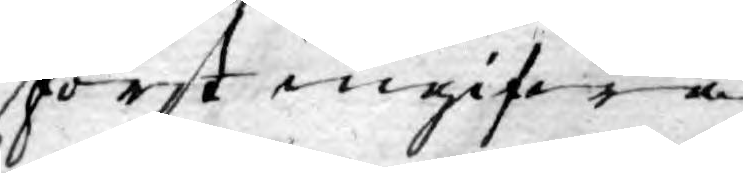först ingifwa
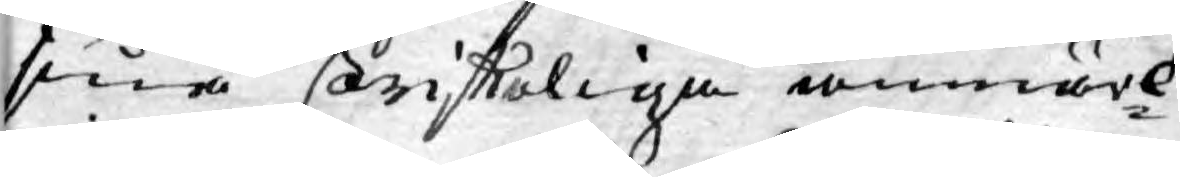sina skriffteliga anmärk¬
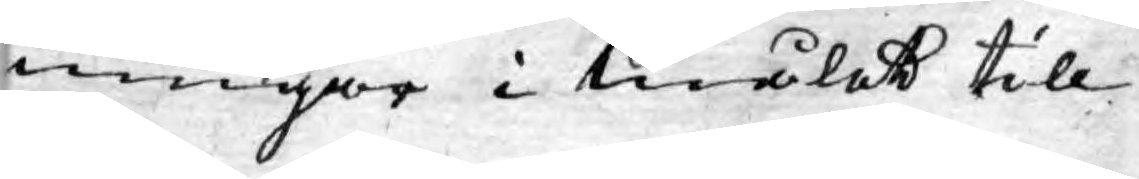ningar i målet till
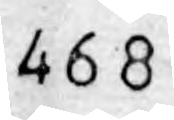468
